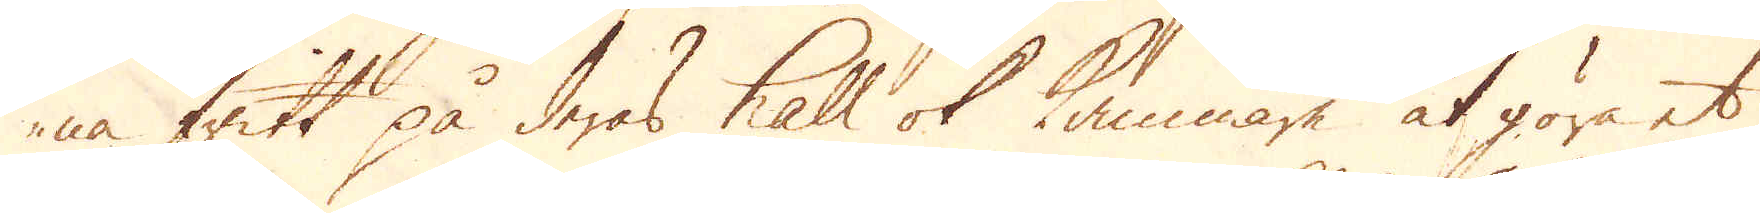na fritt på deras häll ok kammare at göra et
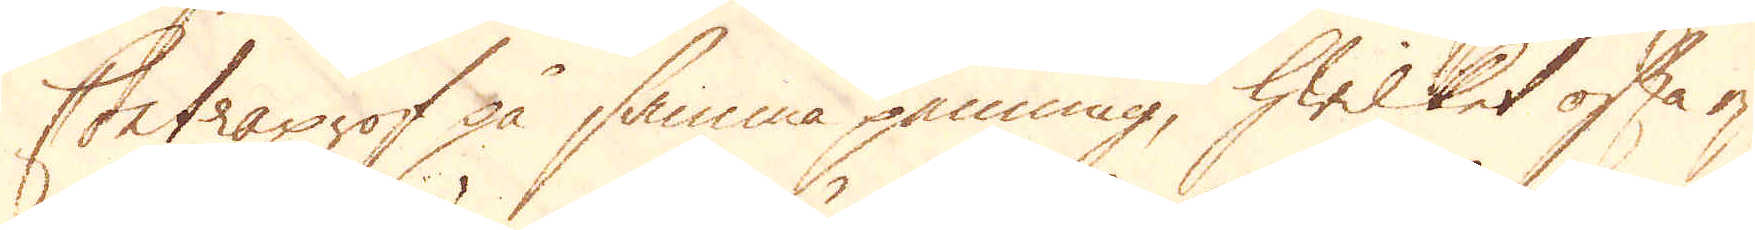Contraprof på samma penning, hwilket ofta ej
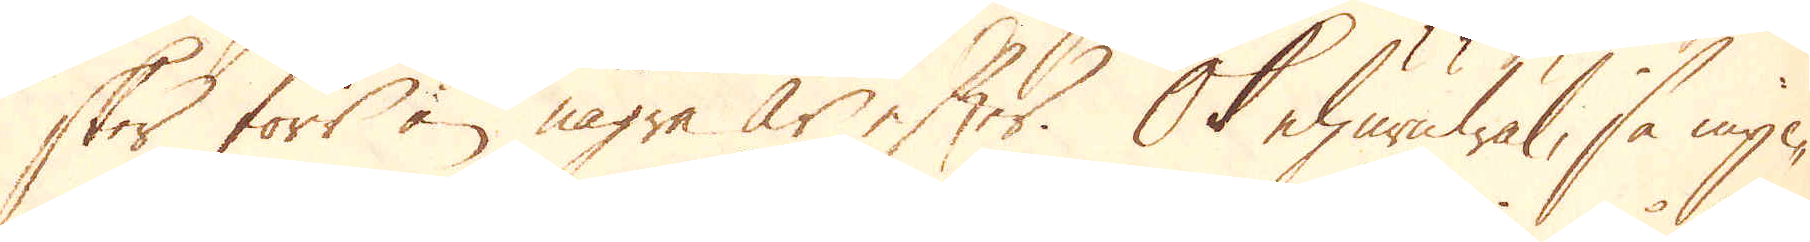sker förs än några år efter. Ok ehuruwäl, så myc-
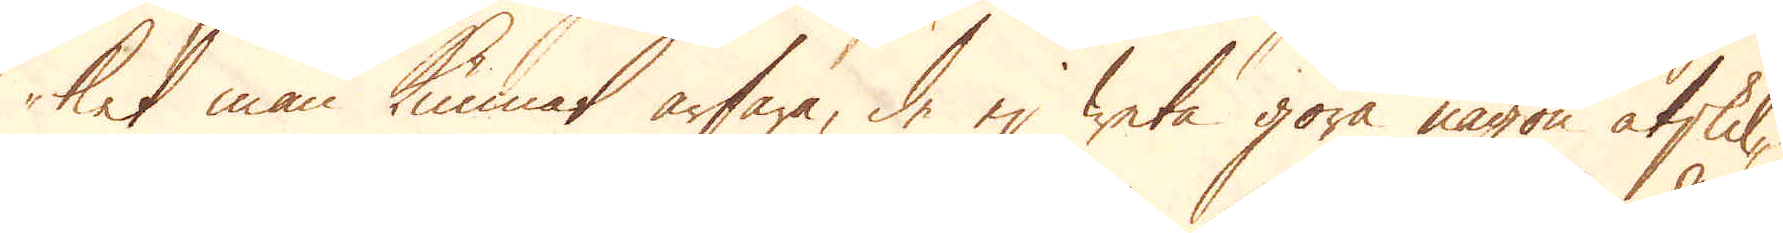ket man kunnat ärfara, de ej weta göra någon åtskil-
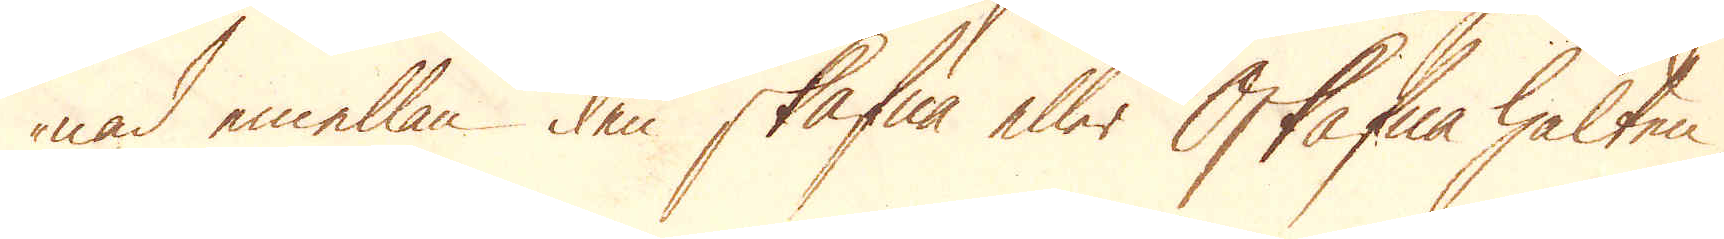nad emellan den skafna eller Oskafna halten,
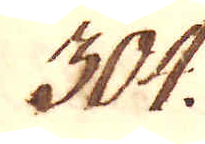304.
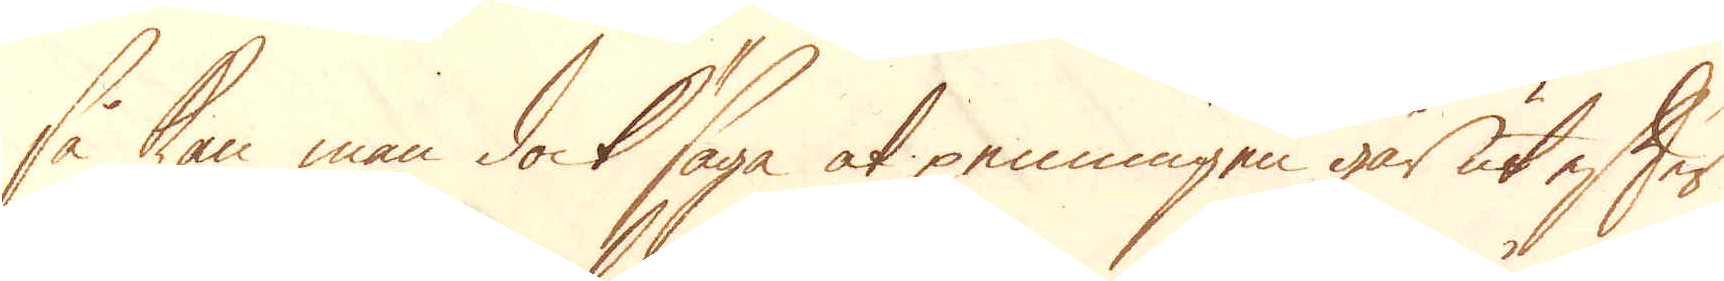så kan man dock säga at penningen går ut efter
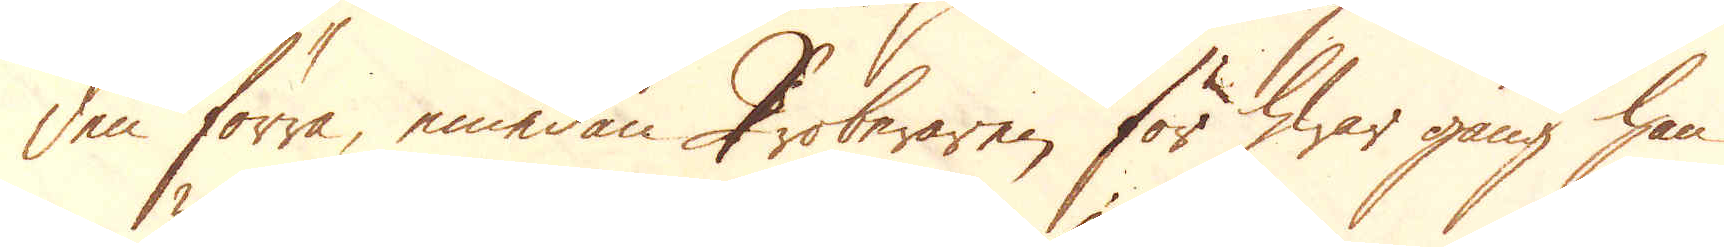den förra, emedan Proberaren för hwar gång han
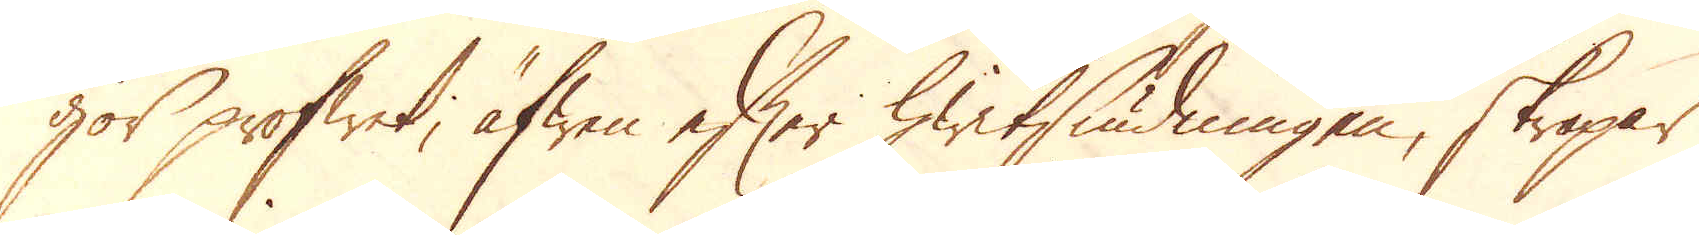gör profwet, äfwen efter hwitsiudningen, skrapar
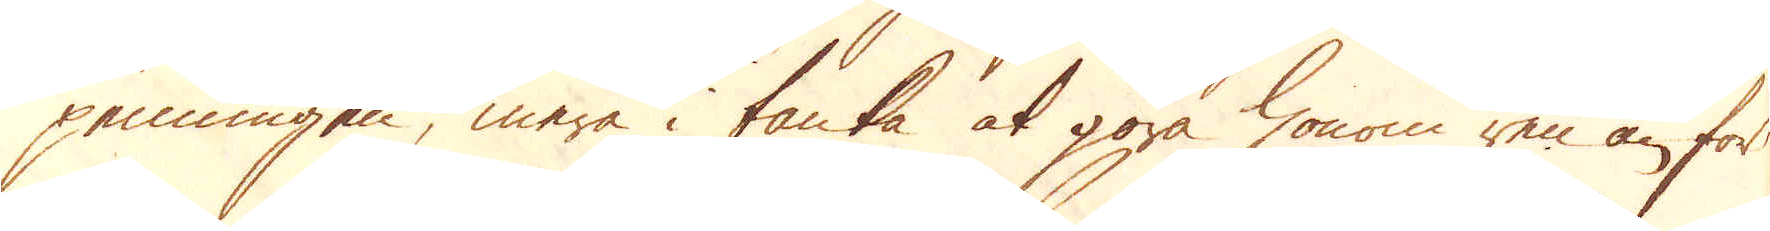penningen, mera i tanka at göra honom ren än för
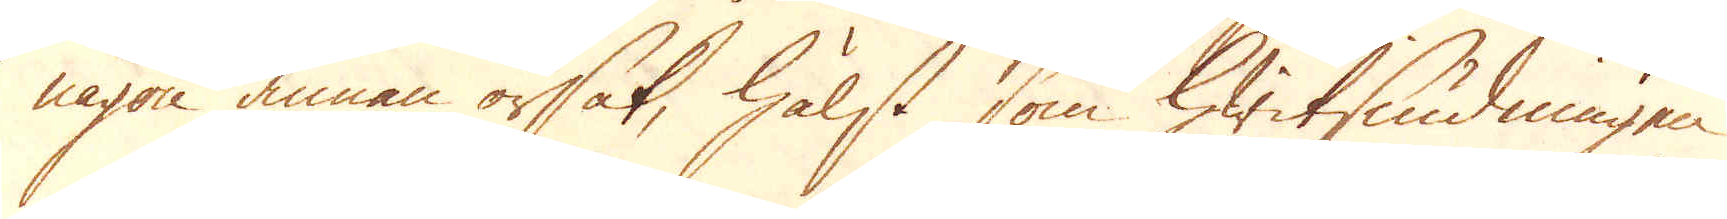någon annan orsak, hälst som hwitsiudningen
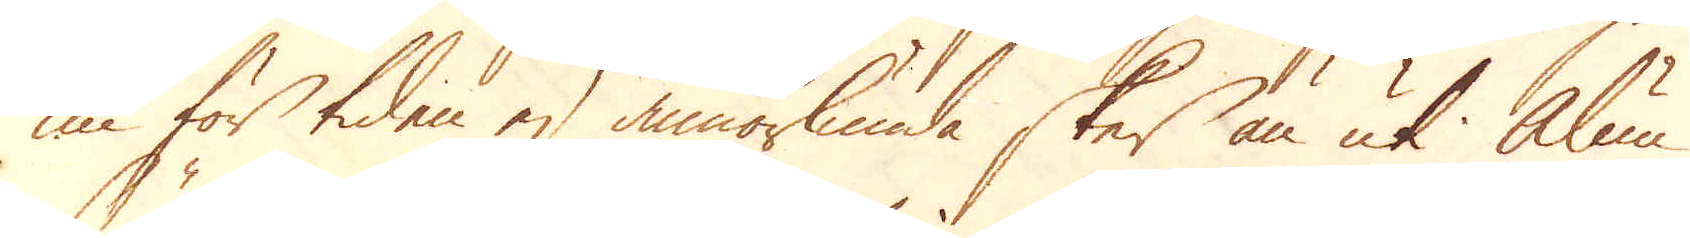nu för tiden ej annorlunda sker än uti Alun
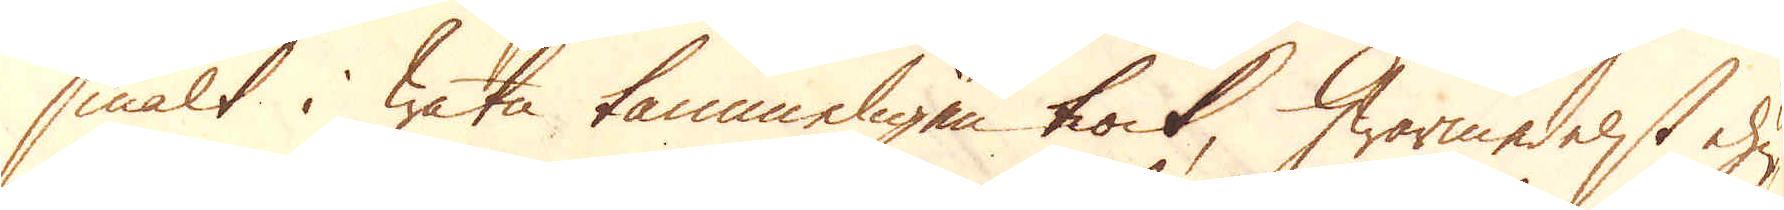smält i watn tämmeligen tiock, hwarmedelst ehu-
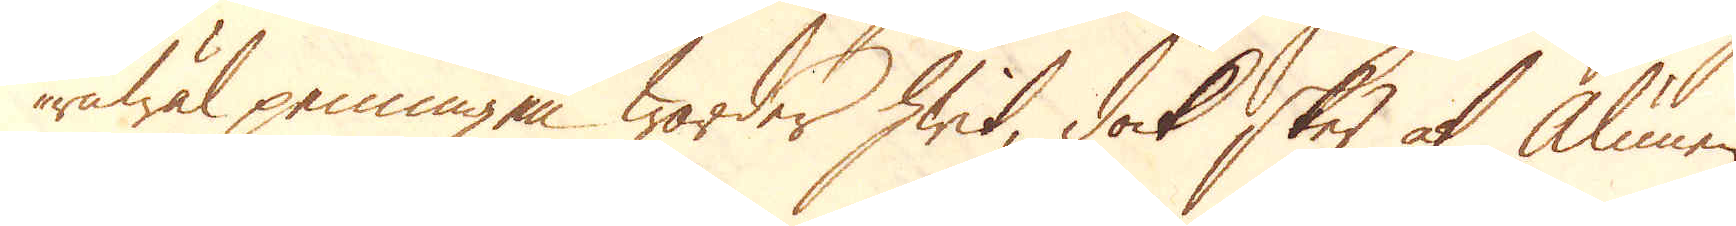ruwäl penningen warder hwit, dock sker at alunnen
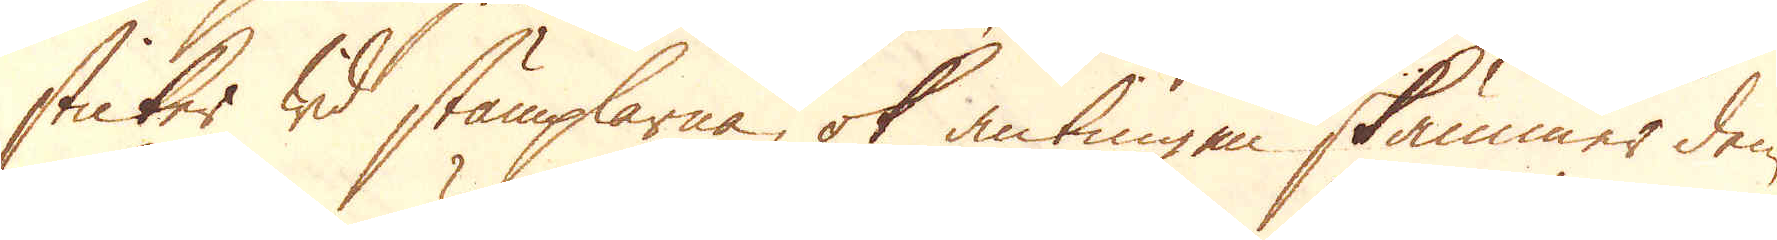sticker wid stämplarna, ok antingen skämmer den
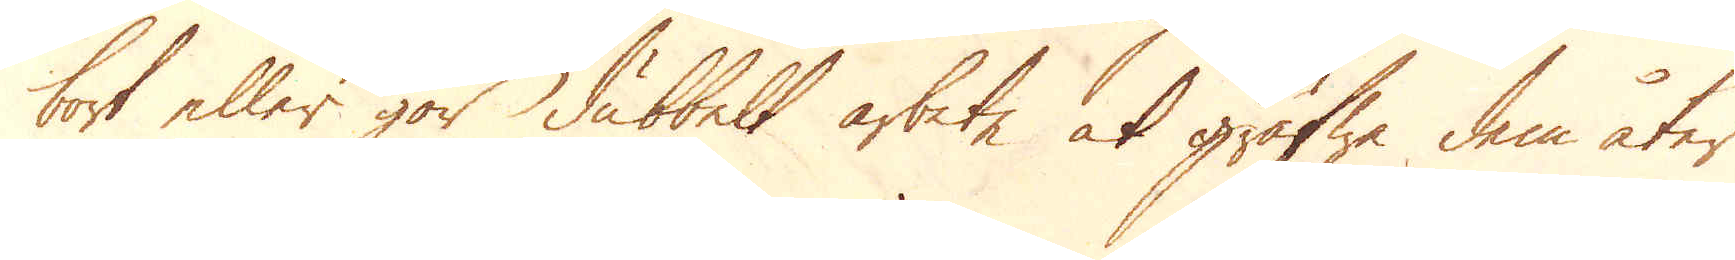bort eller gör dubbelt arbete at gräfwa dem åter
